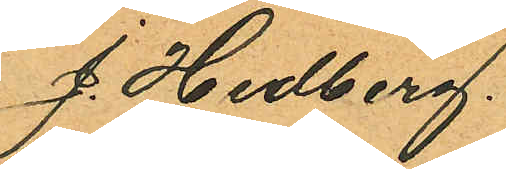J. Hedberg.
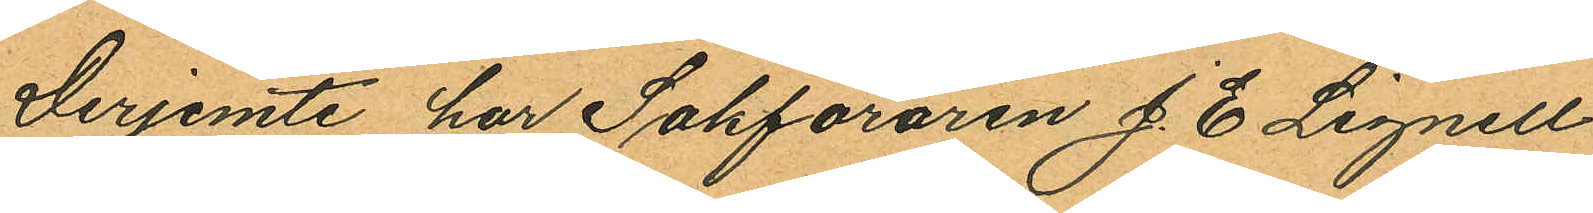Derjemte har Sakföraren J. E. Lignell
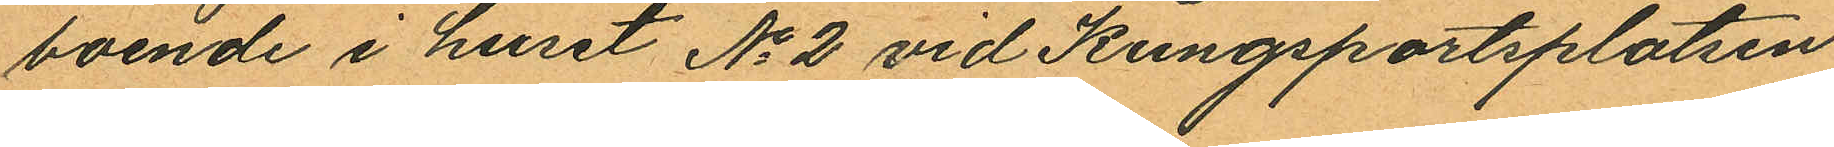boende i huset No 2 vid Kungsportsplatsen
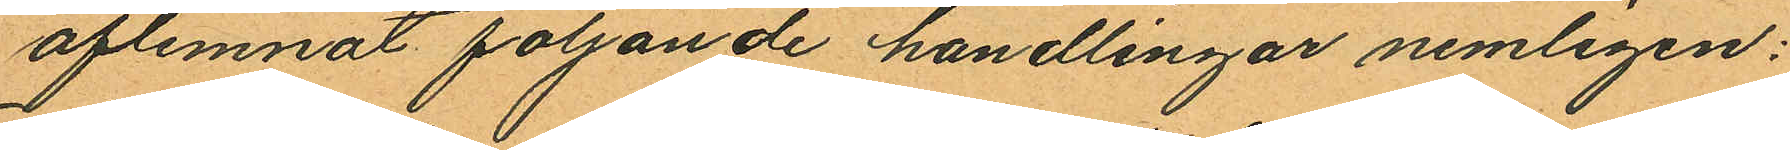aflemnat följande handlingar nemligen:
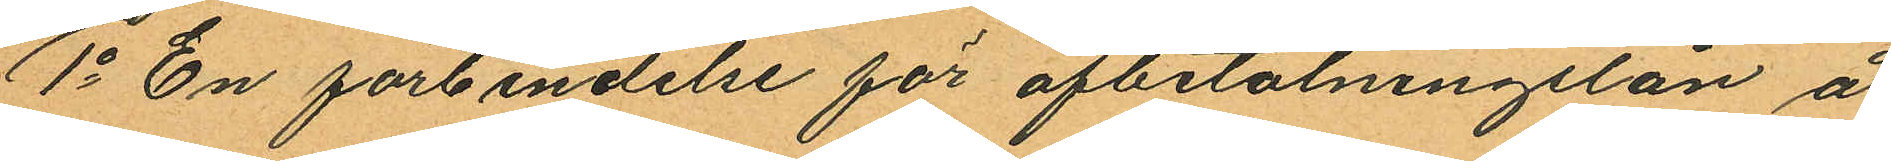1o En förbindelse för afbetalningslån å
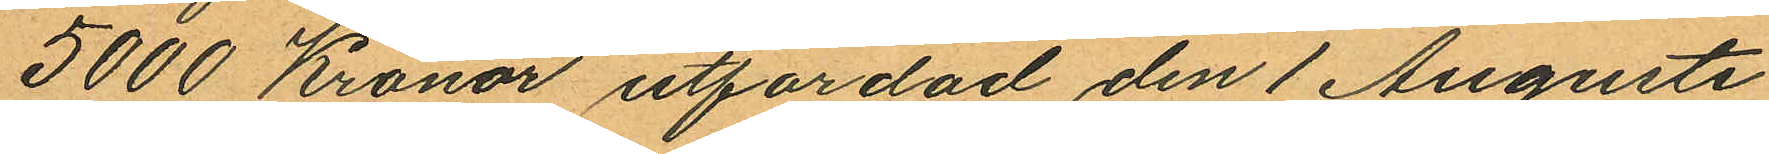5000 Kronor utfardad den 1 Augusti
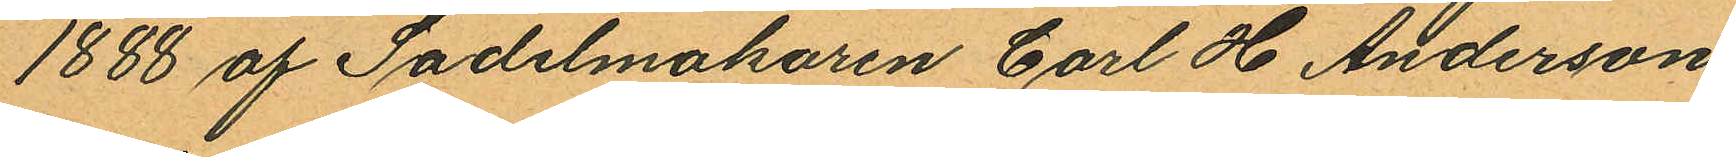1888 af Sadelmakaren Carl H Anderson
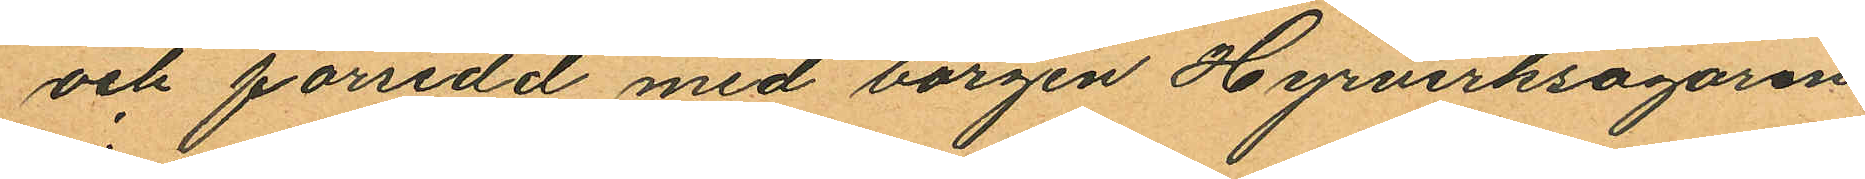och förredd med borgen Hyrverksägaren
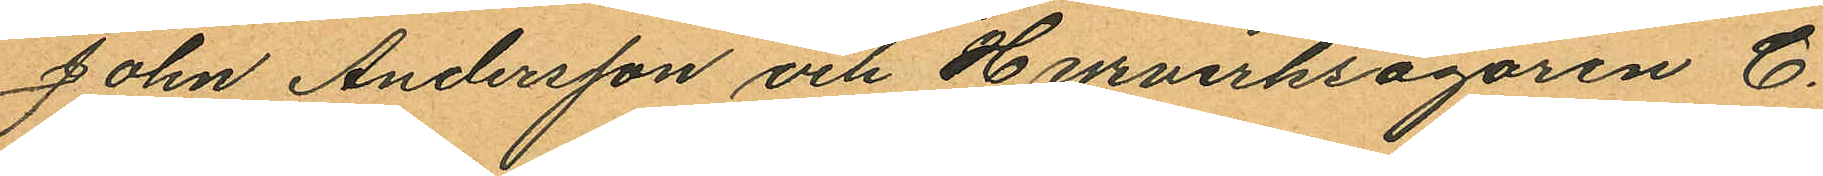John Andersson och Hyrverksägaren C.
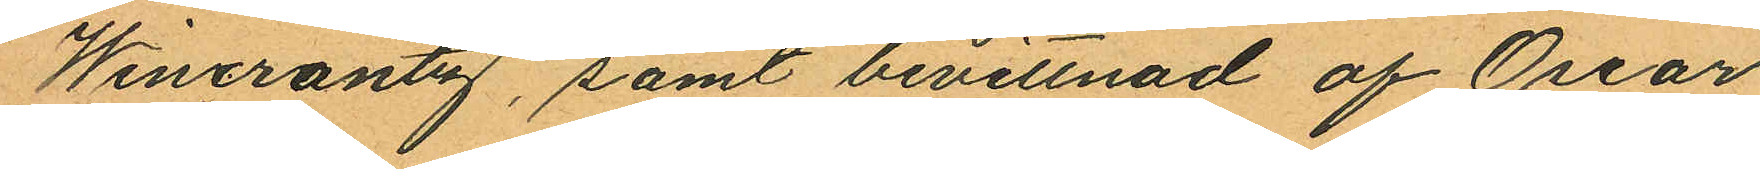Wincratz, samt bevittnad af Oscar
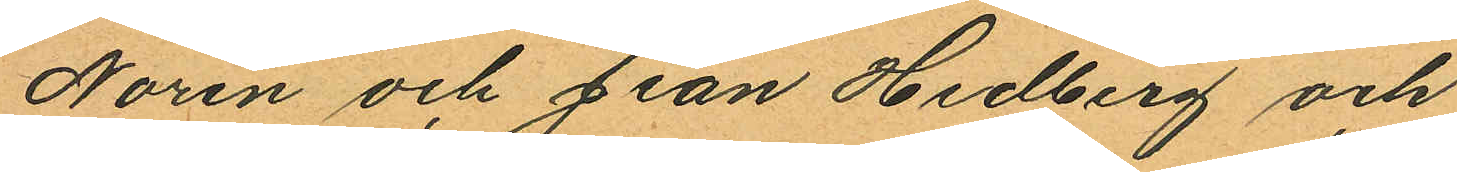Norén och Jean Hedberg och
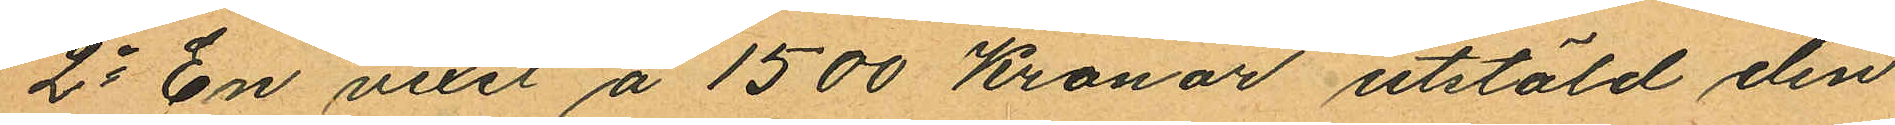2o En vexel å 1500 Kronor utstäld den
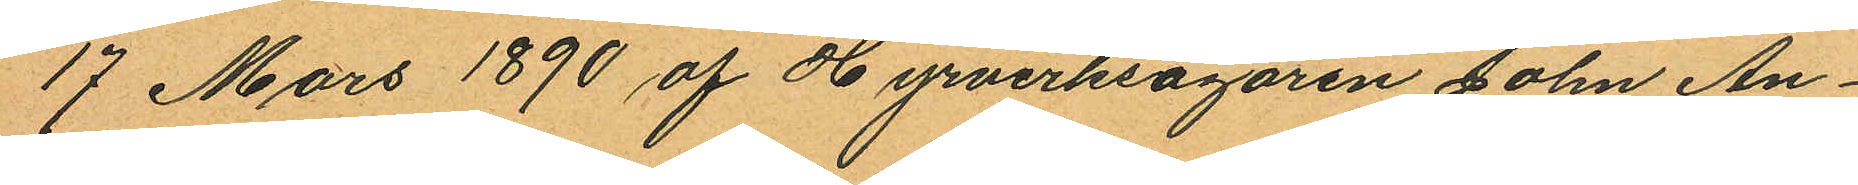17 Mars 1890 af Hyrverksägaren John An¬
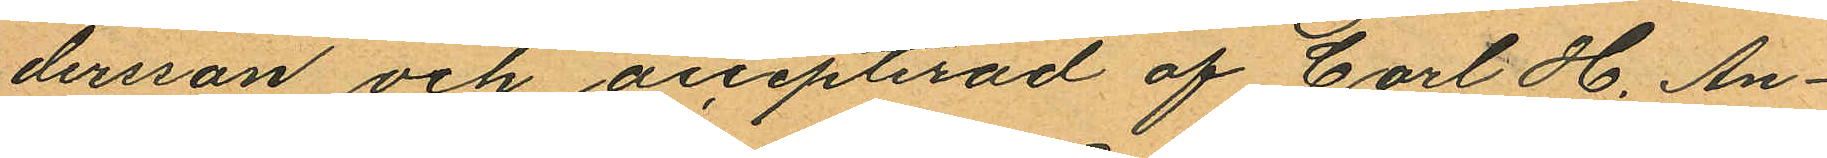dersson och accepterad af Carl H. An¬
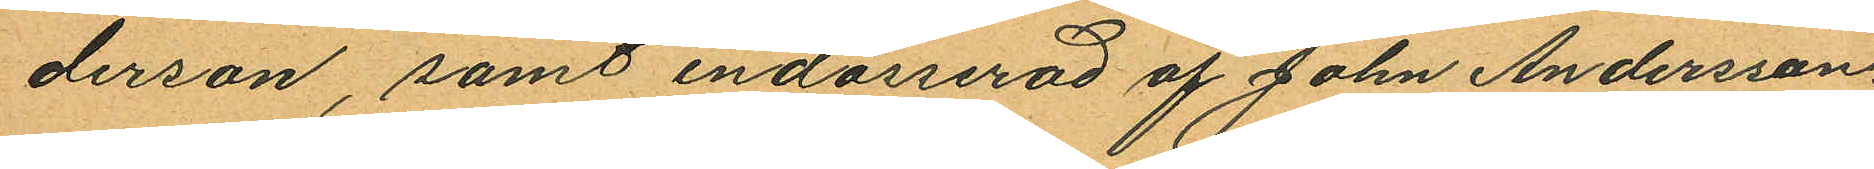derson, samt endosserad af John Andersson
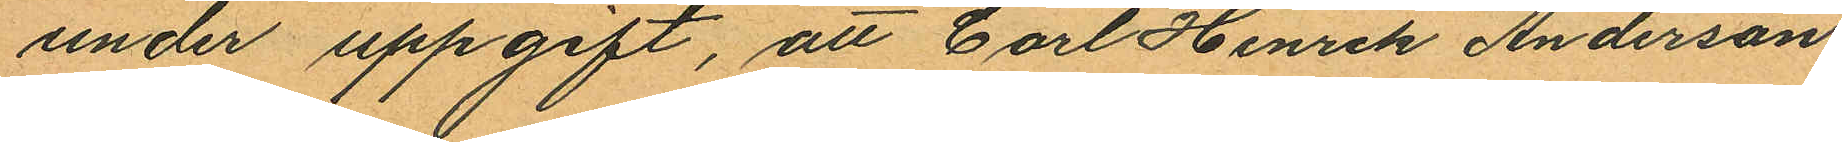under uppgift, att Carl Henrik Anderson
